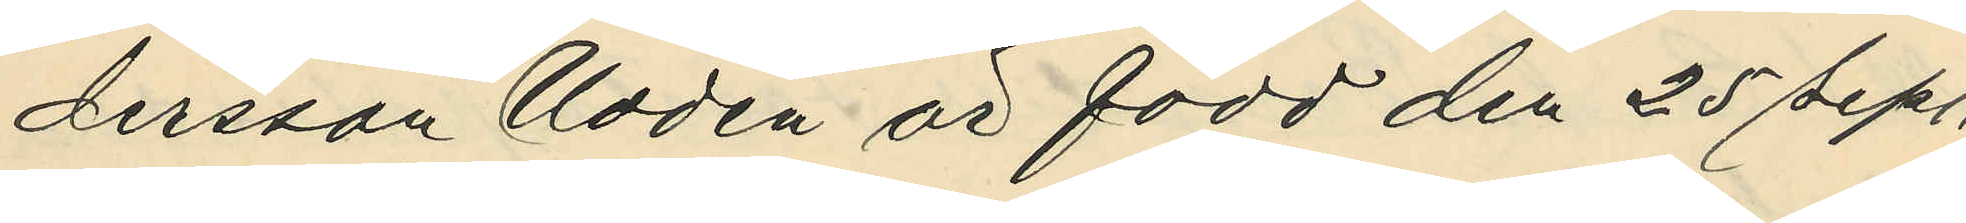dersson Uddén är född den 25 Sept.
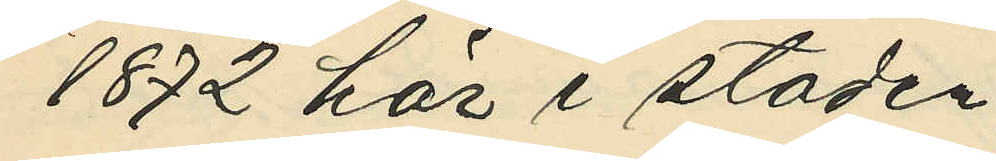1872 här i staden,
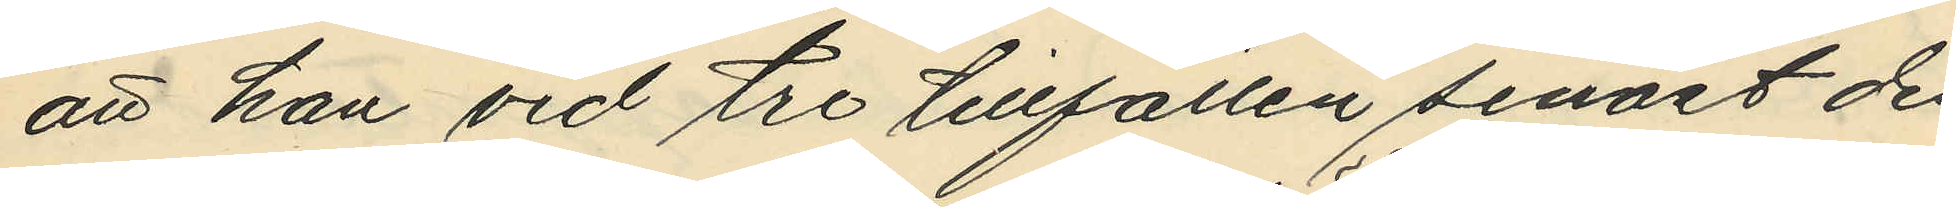att han vid tre tillfällen senast den
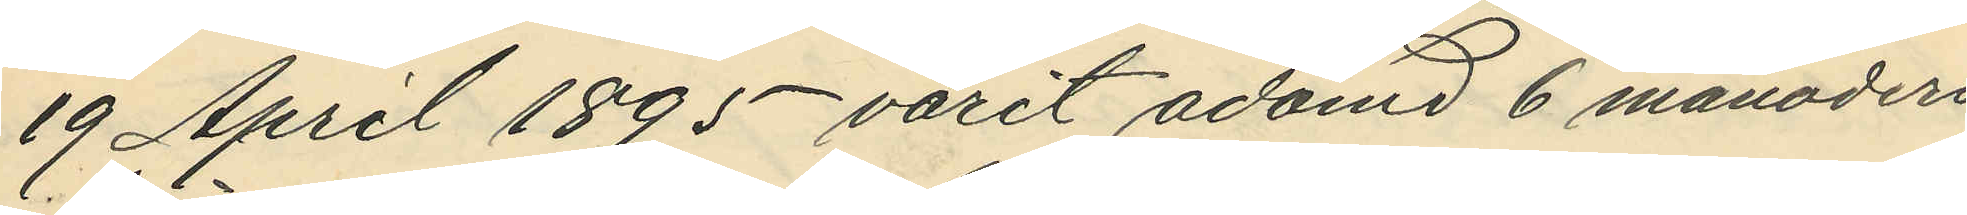19 April 1895 varit adömd 6 månaders
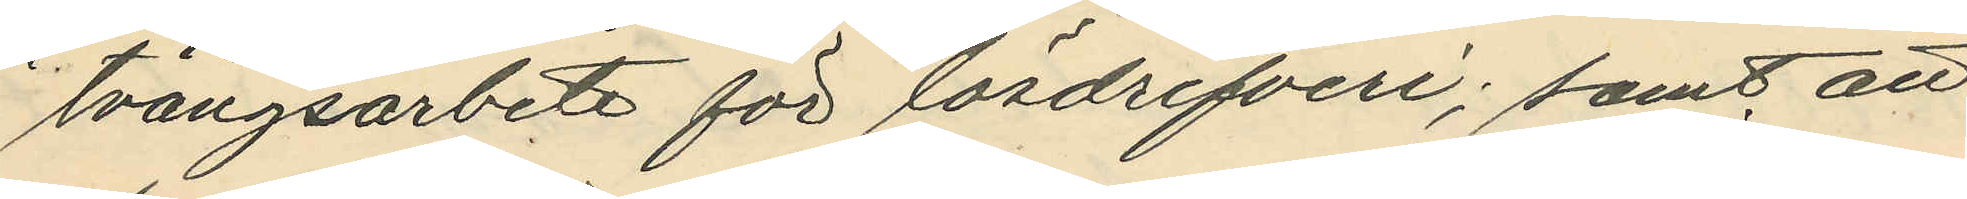tvångsarbete för lösdrifveri; samt att
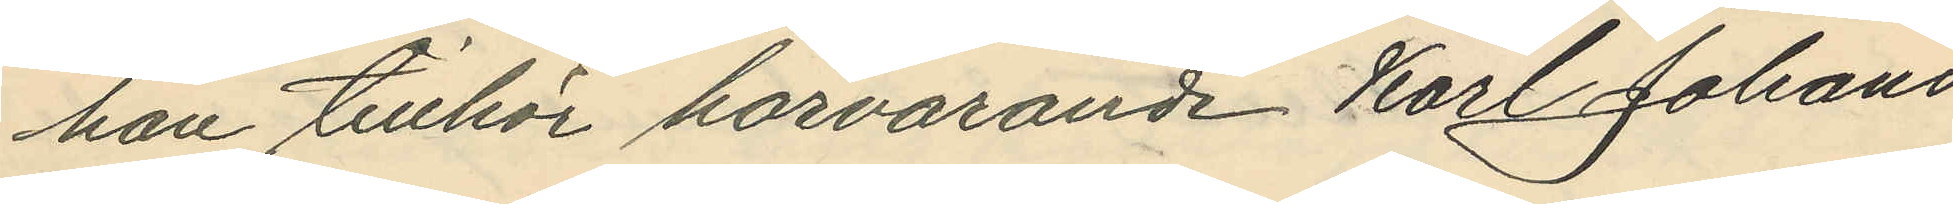han tillhör härvarande Karl Johans
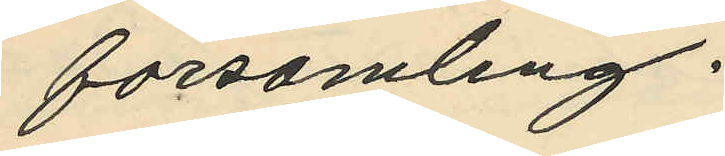församling.
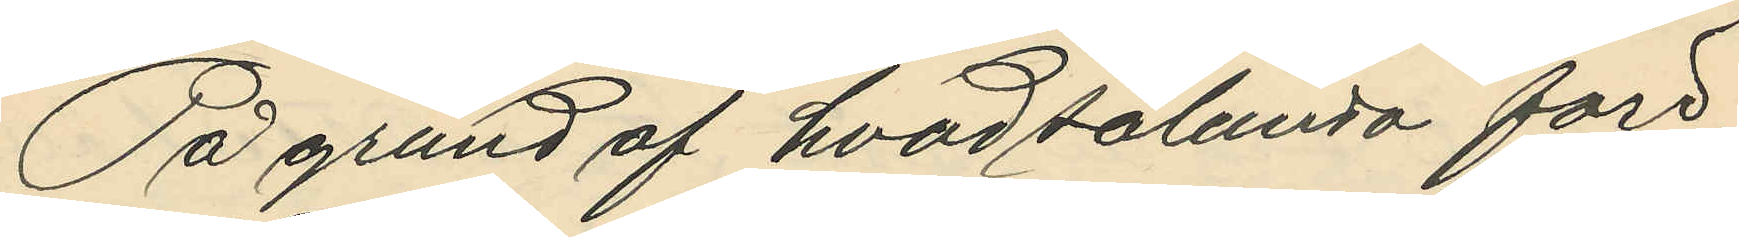På grund af hvad sålunda före¬
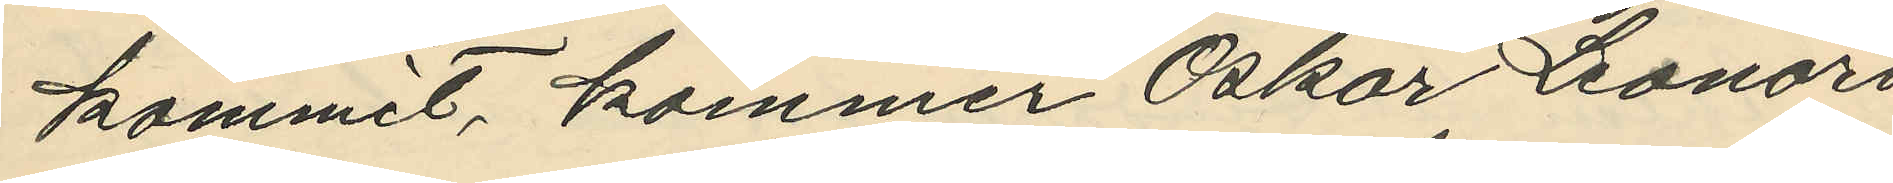kommit, kommer Oskar Leonard
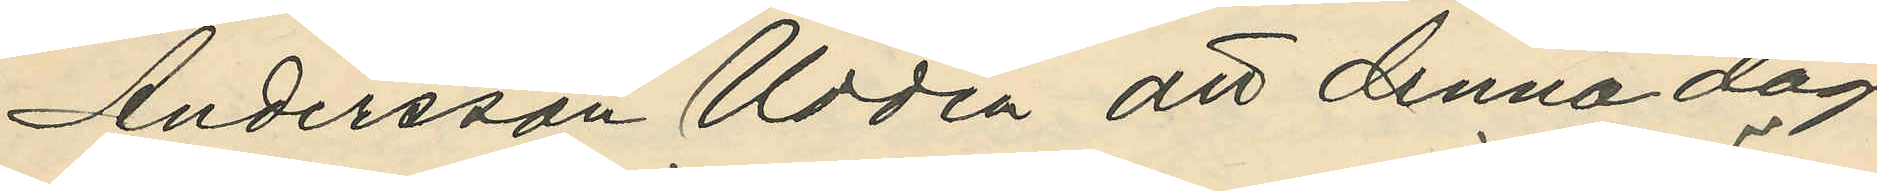Andersson Uddén att denna dag
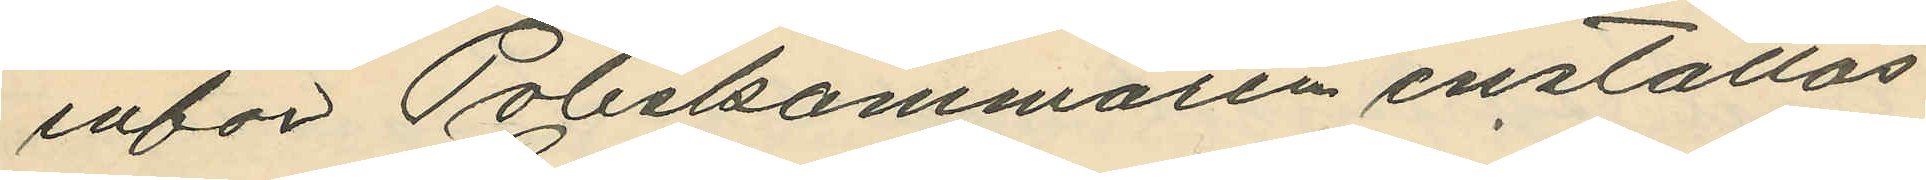inför Poliskammaren inställas.
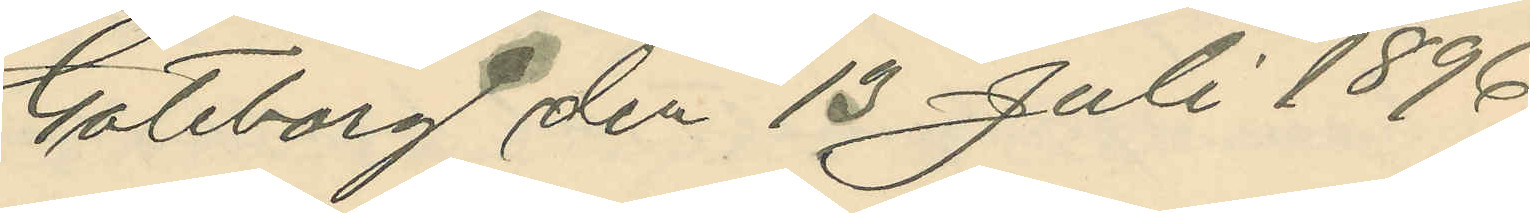Göteborg den 13 Juli 1896.
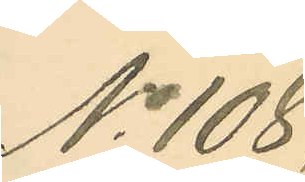No 108,
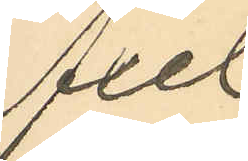Axel
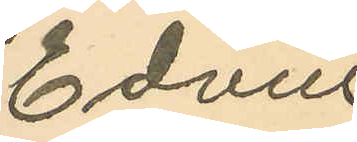Edvin
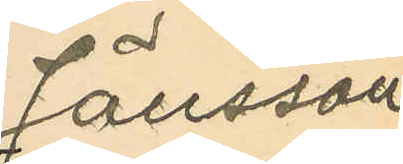Jönsson
